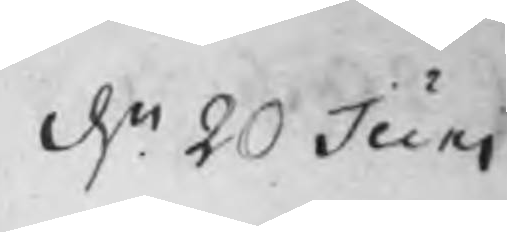d. 20 Juni
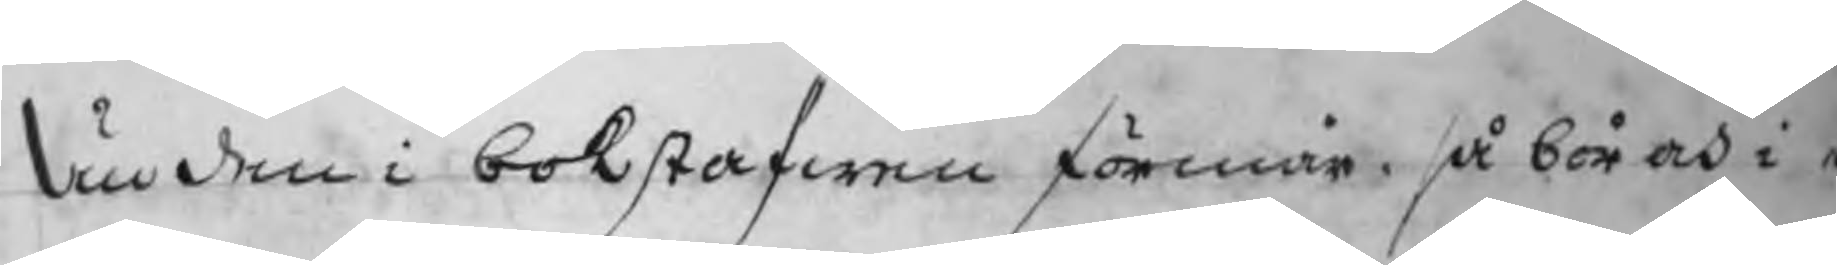än den i bokstafwen förmår, så bör ock i e
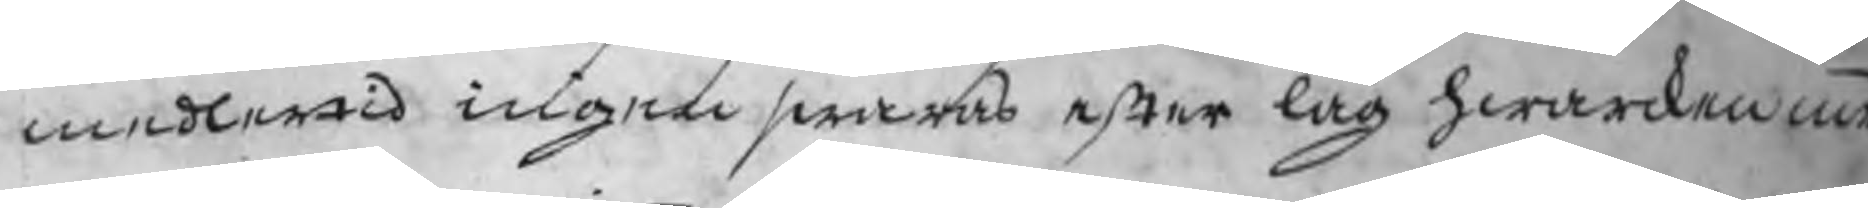medlertid ingen swaras efter lag hwarcken med
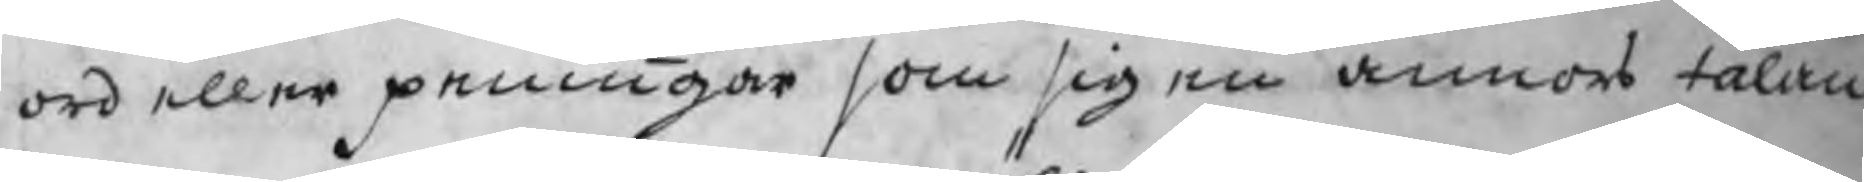ord eller peningar som sig en annors talan
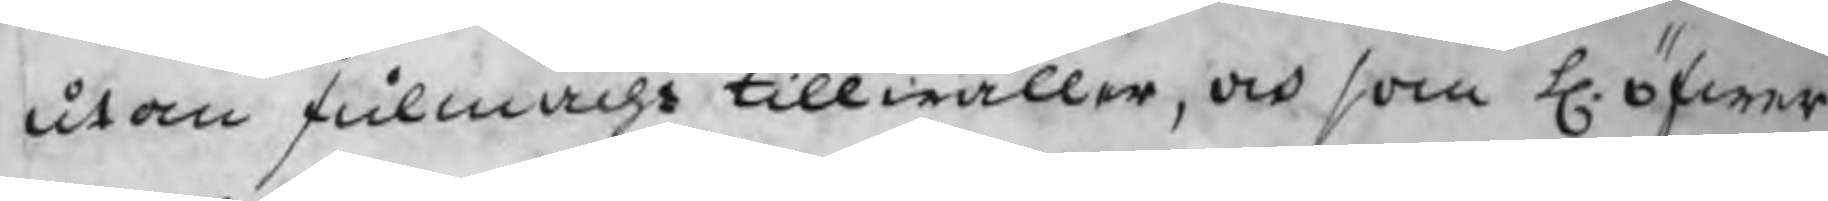utan fulmacht tillwäller, ock som H. öfwer
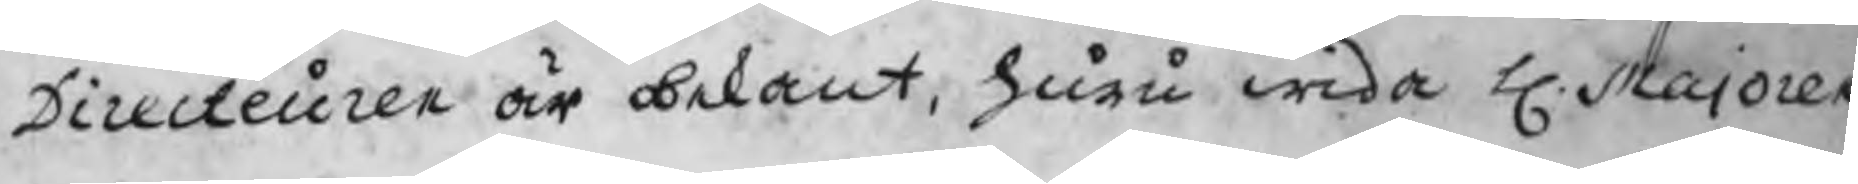Directeuren är obekant, huru wida H. Majoren
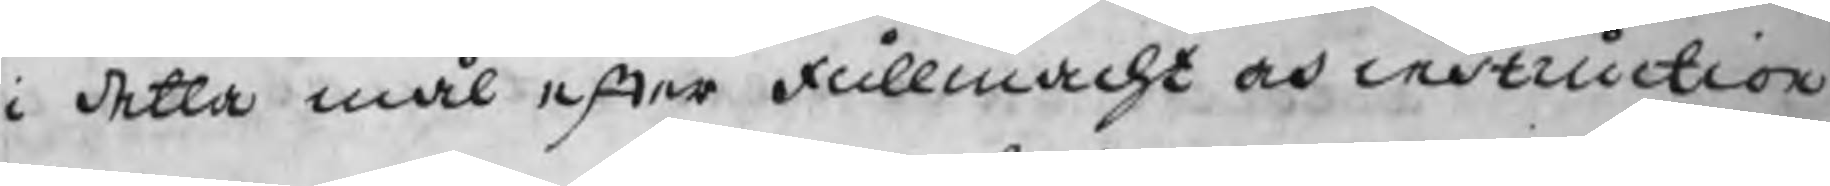i detta mål efter fullmacht och instruction
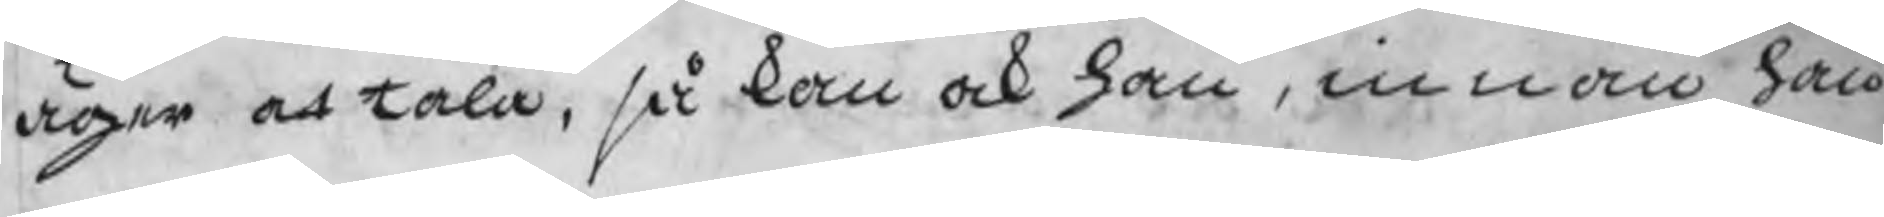äger at tala, så kan ock han, innan han
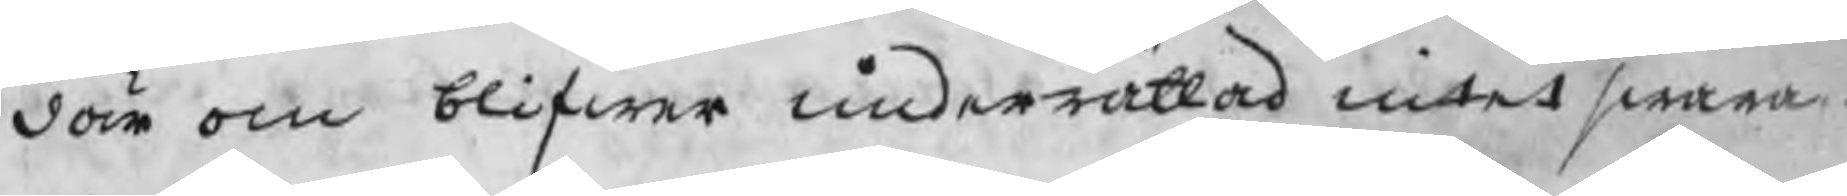där om blifwer underrättad intet swara.
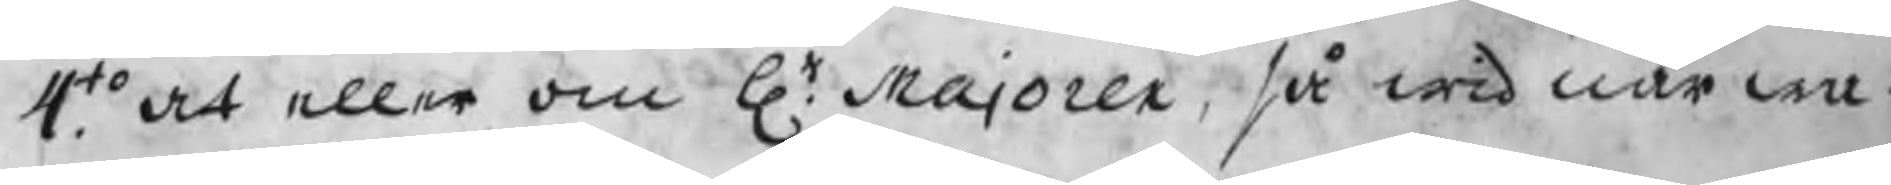4to. At eller om Hr. Majoren, så wid närwa¬
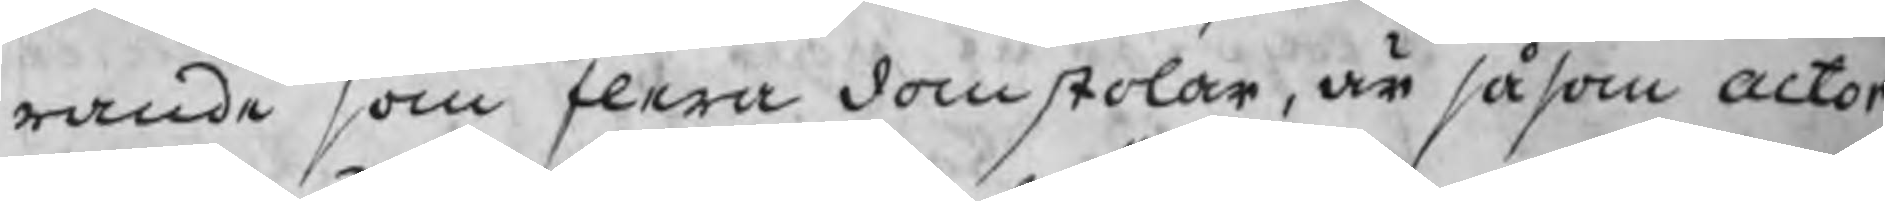rande som flera domstolar, är såsom actor
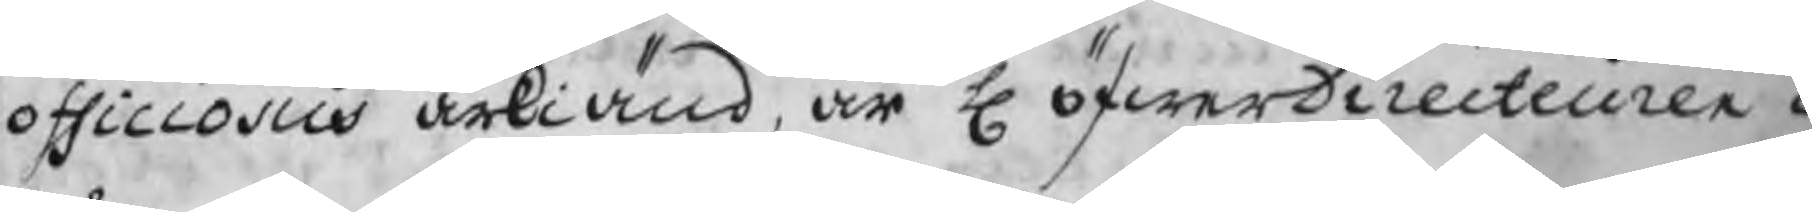officiosus ärkiänd, är H öfwerDirecteuren o
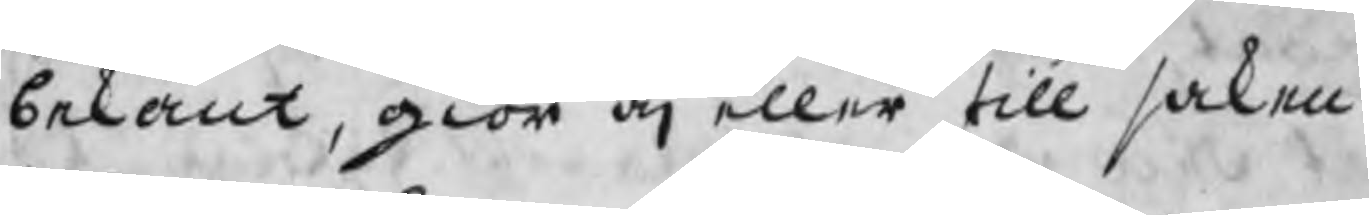bekant, giör äj eller till saken.
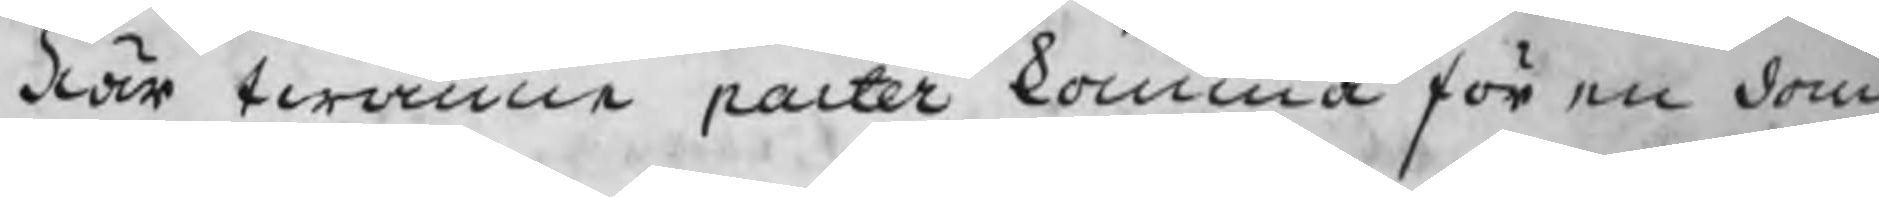När twänne parter komma för en dom
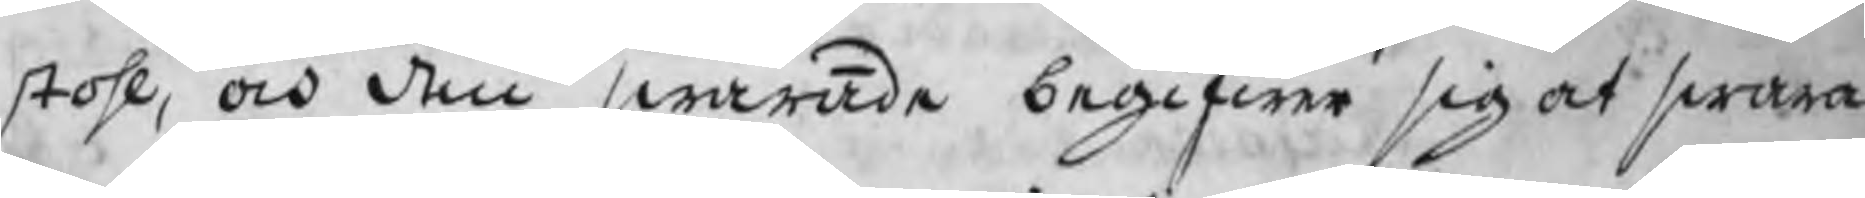stohl, och den swarande begifwer sig at swara
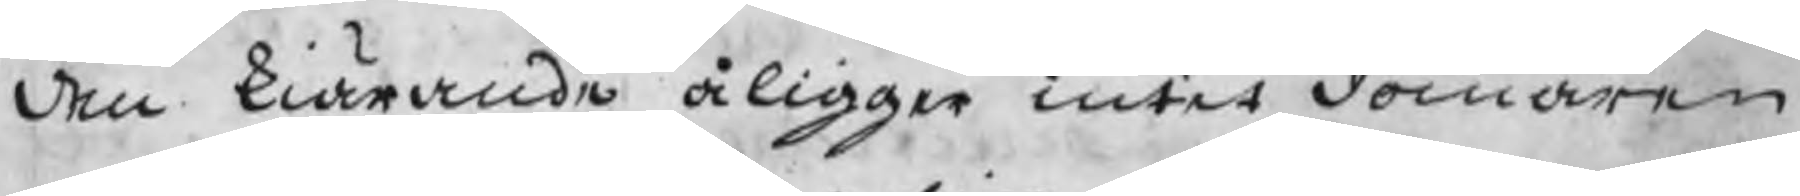den kiärande åligger intet domaren
